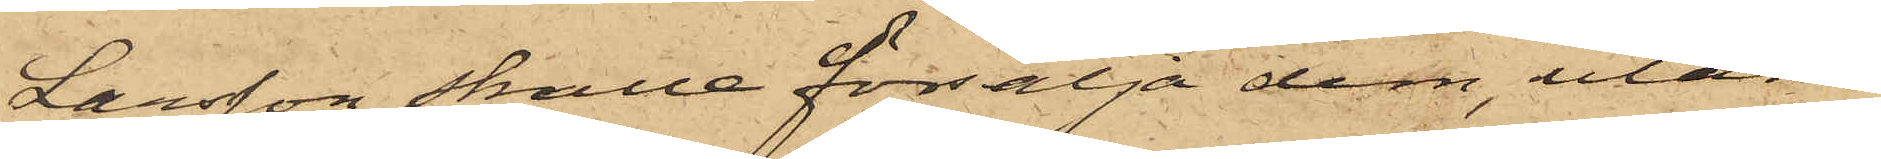Larsson skulle försälja dem, utan
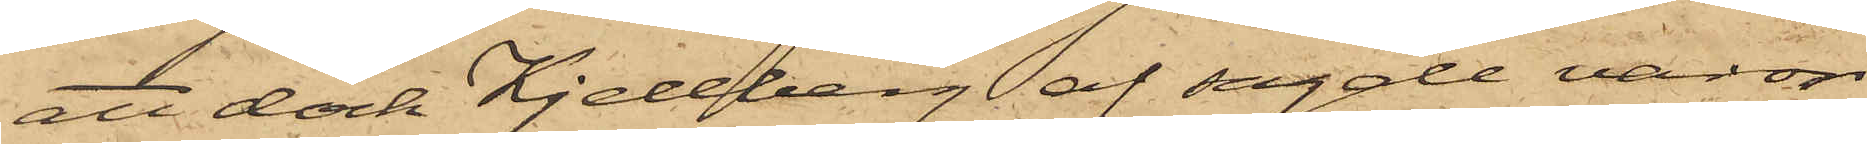att dock Kjellberg af sagde varor
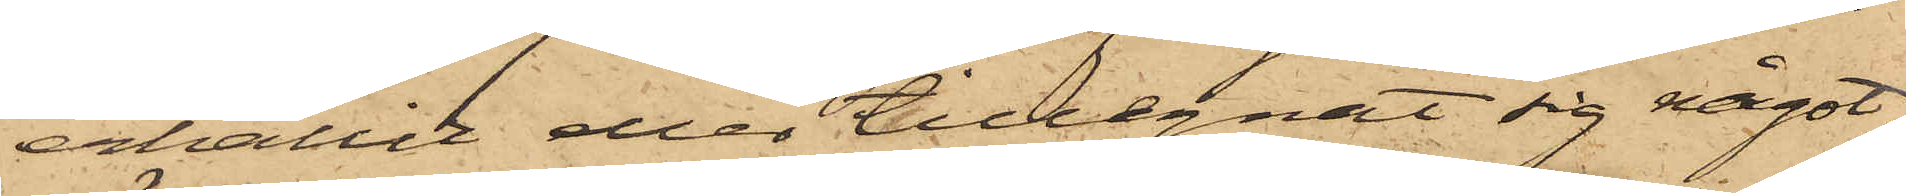erhållit eller tillegnat sig något;
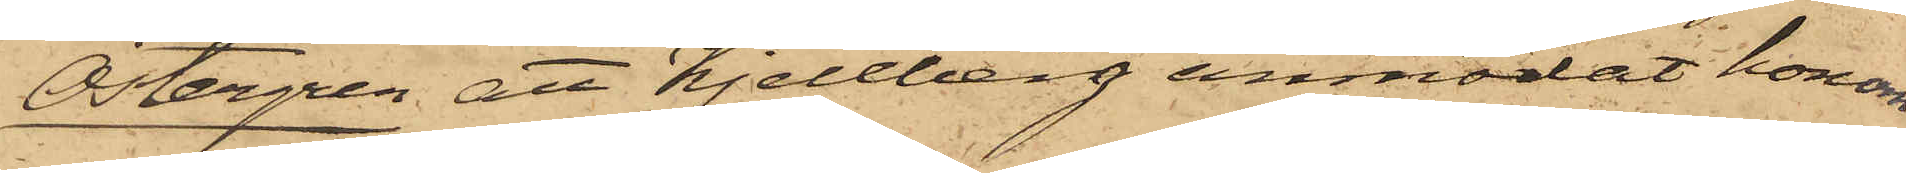Östergren att Kjellberg anmodat honom
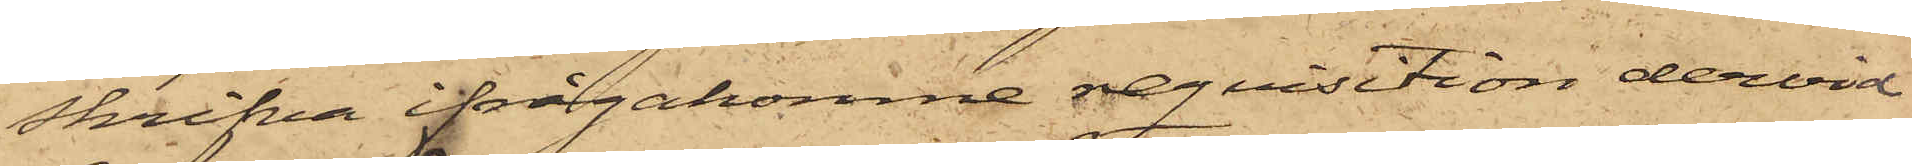skrifva ifrågakomne reqvisition dervid
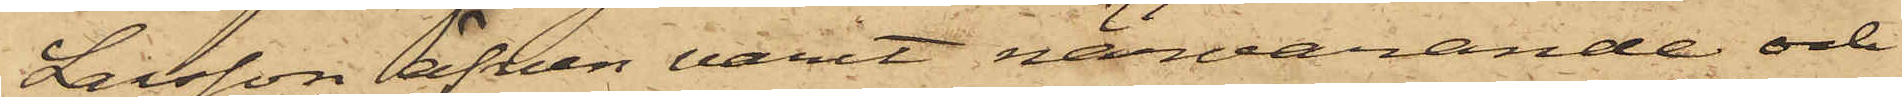Larsson äfven varit närvarande och
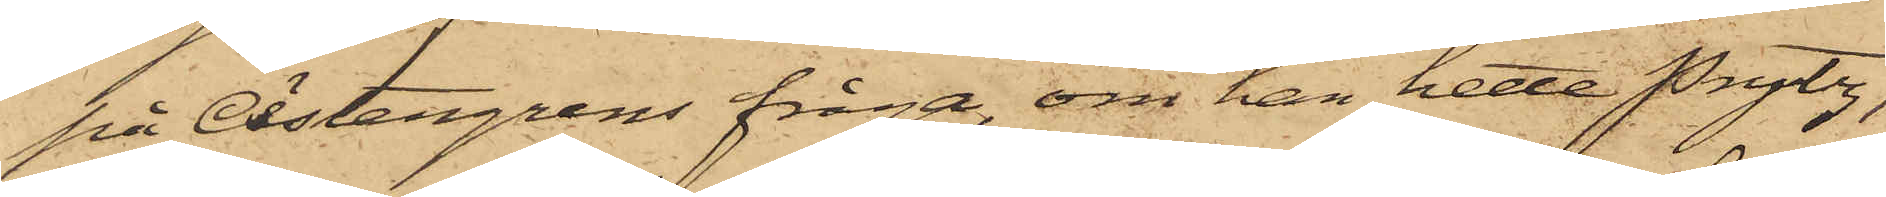på Östergrens fråga, om han hette Prytz,
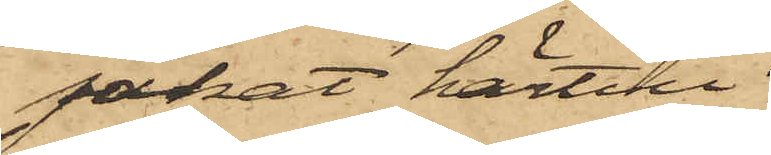jakat härtill
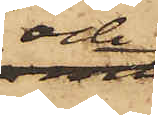och
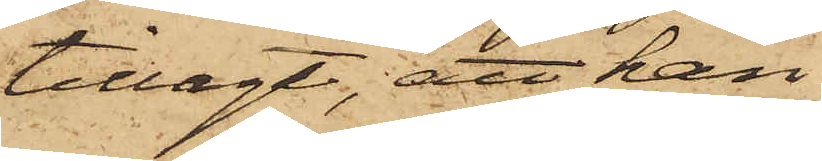tillagt, att han
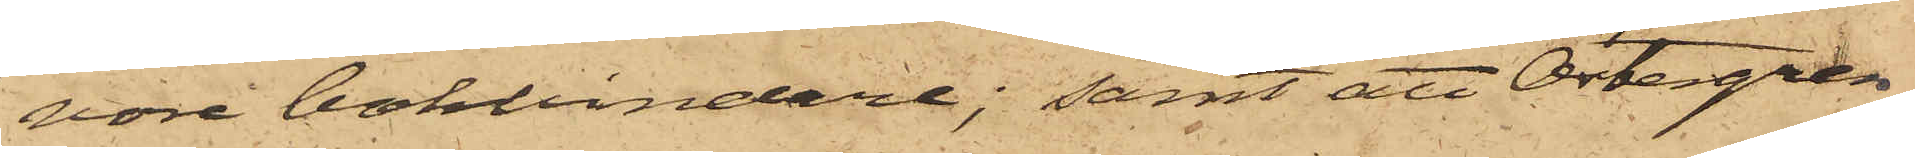vore bokbindare; samt att Östergren,
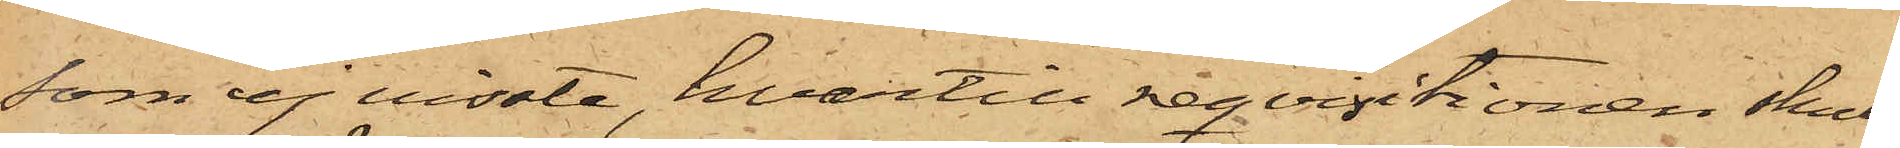som ej visste, hvartill reqvisitionen skul¬
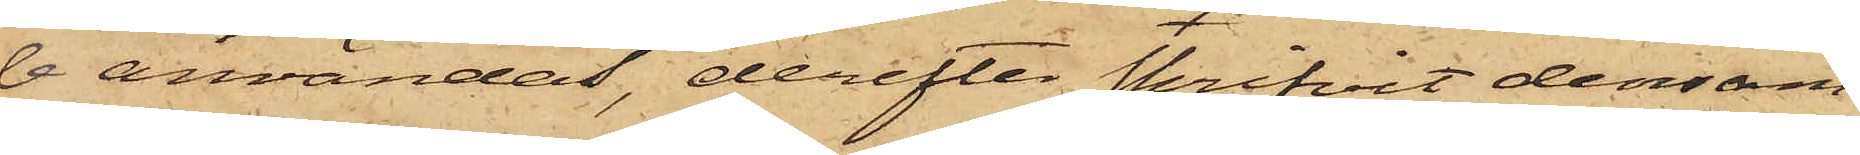le användas, derefter skrifvit densam¬
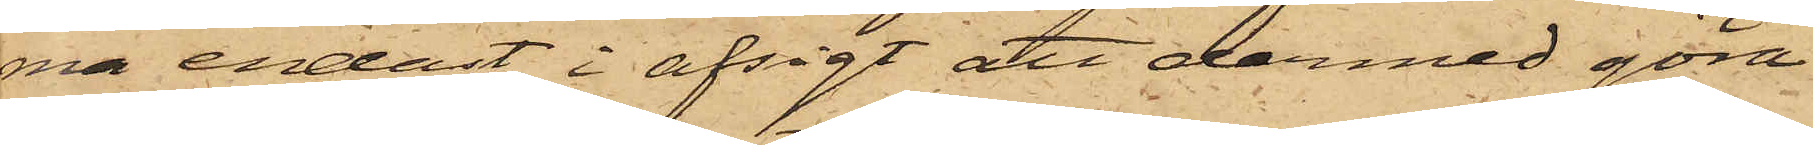ma endast i afsigt att dermed göra
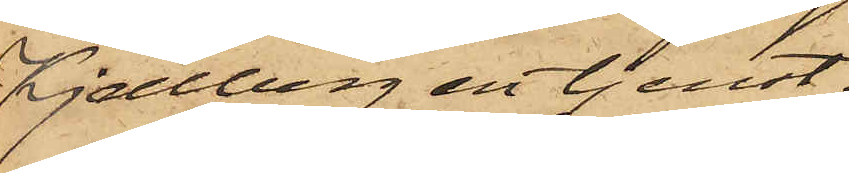Kjellberg en tjenst.
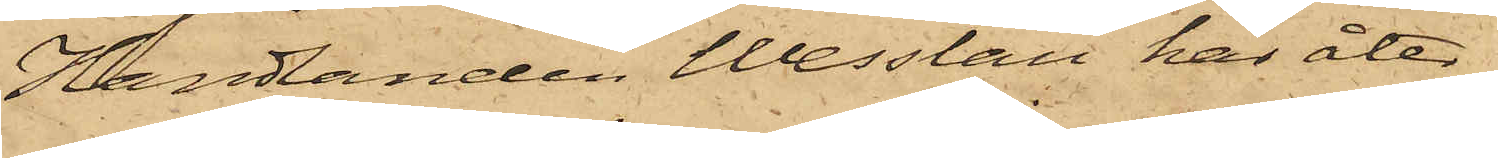Handlanden Wesslau har åter¬
